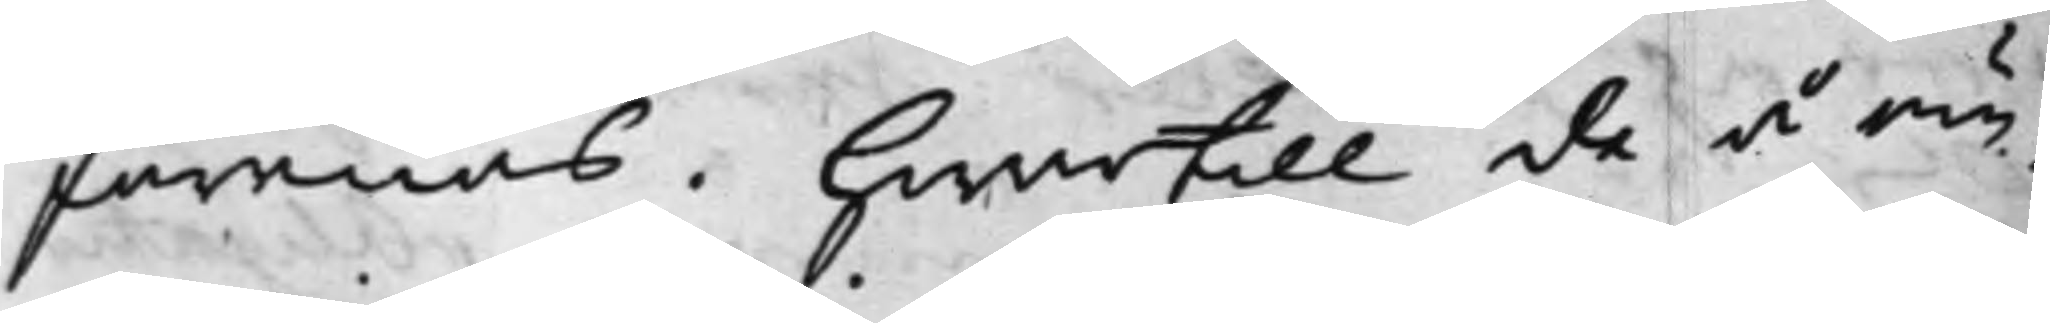Förenas. Hwartill de å öm¬
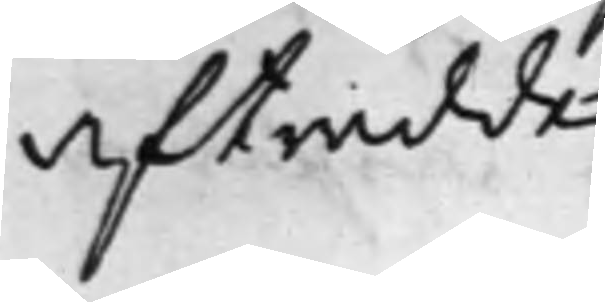afträdde.
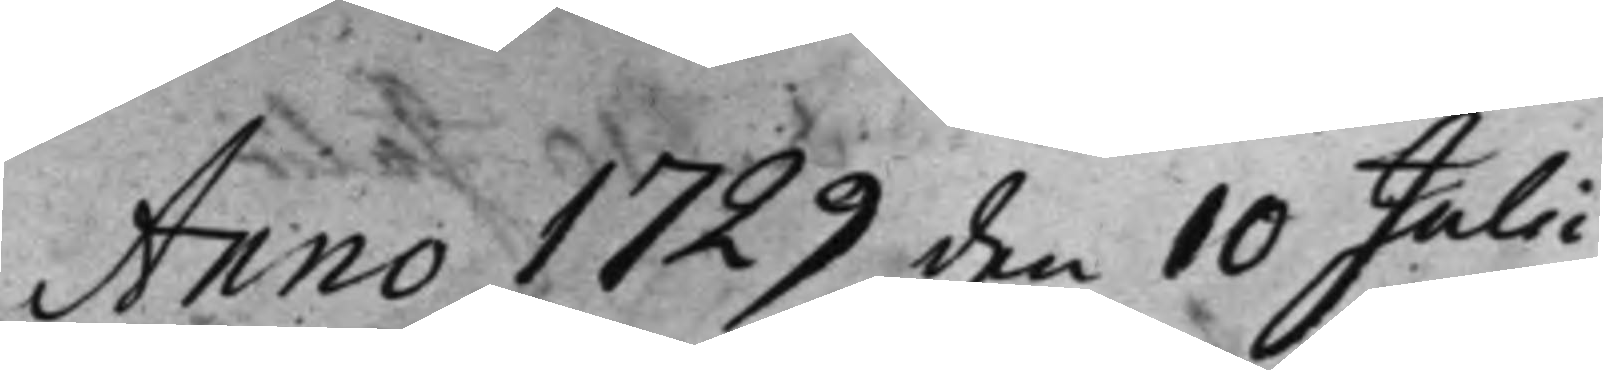Anno 1729 den 10 Julii
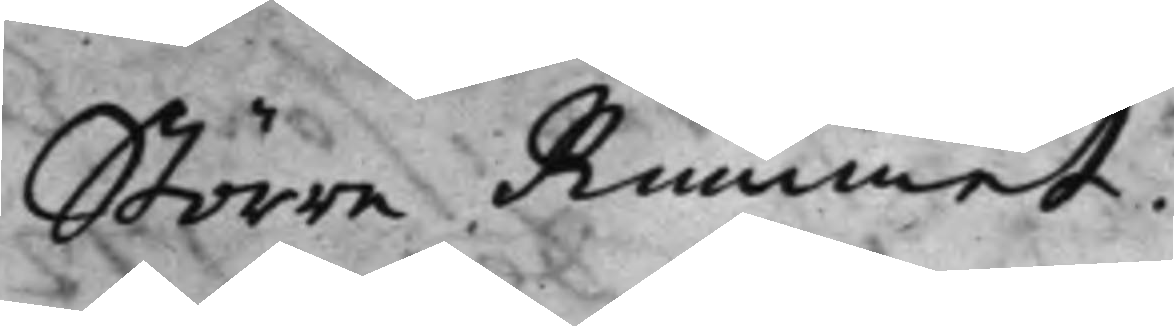Större Rummet.
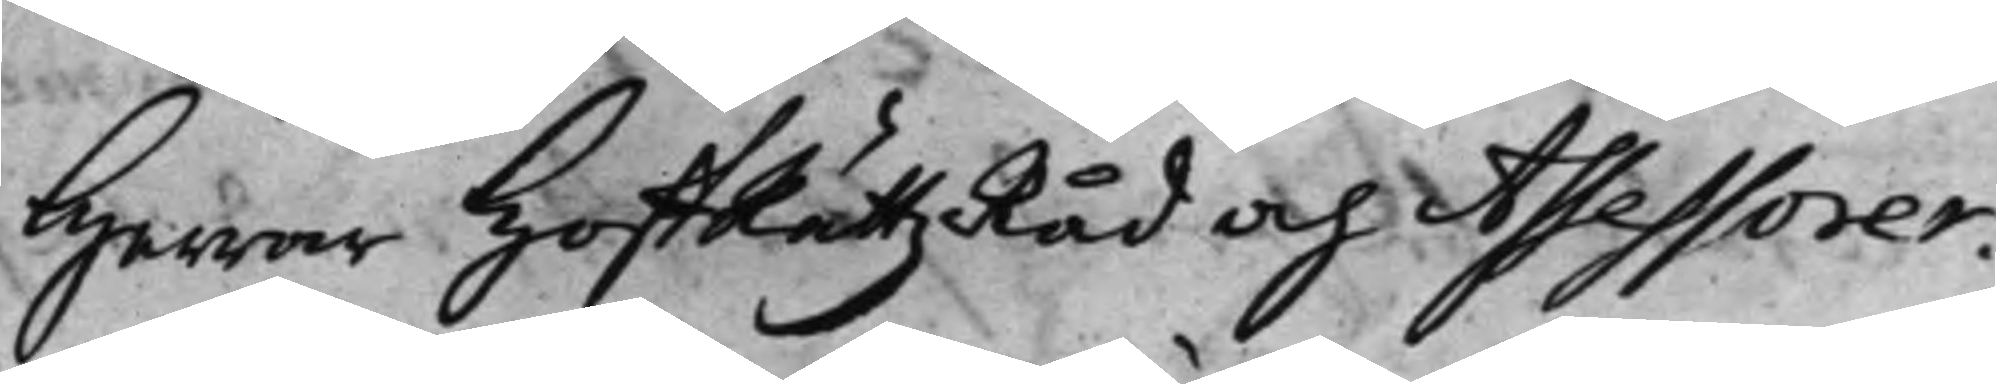Herrar HoffRättz Råd och Assessorer:
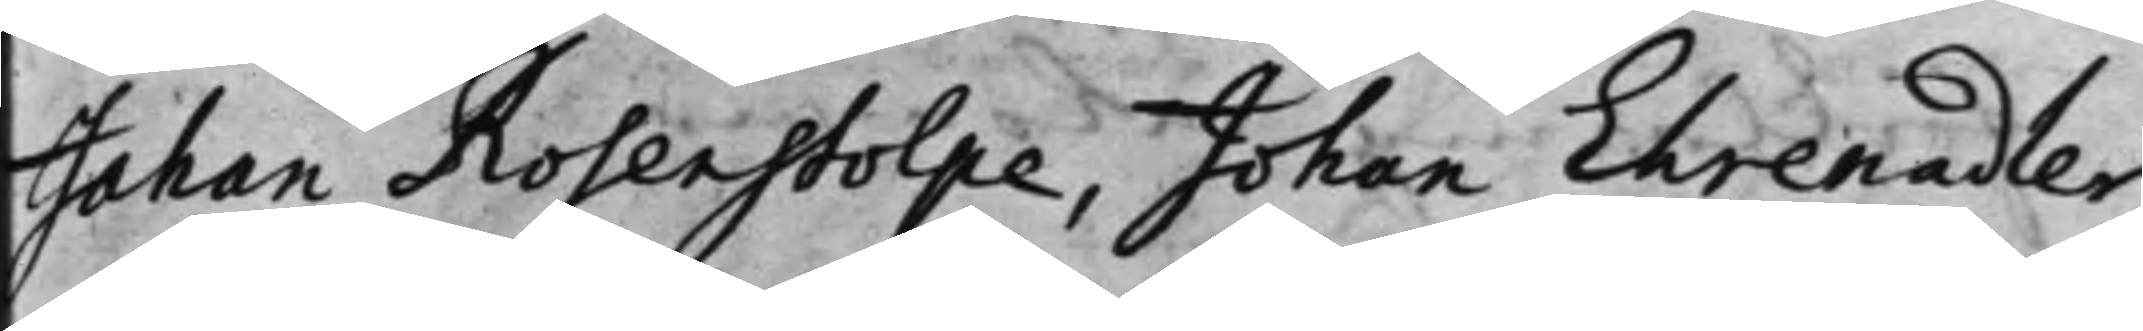Johan Rosenstolpe, Johan Ehrenadler,
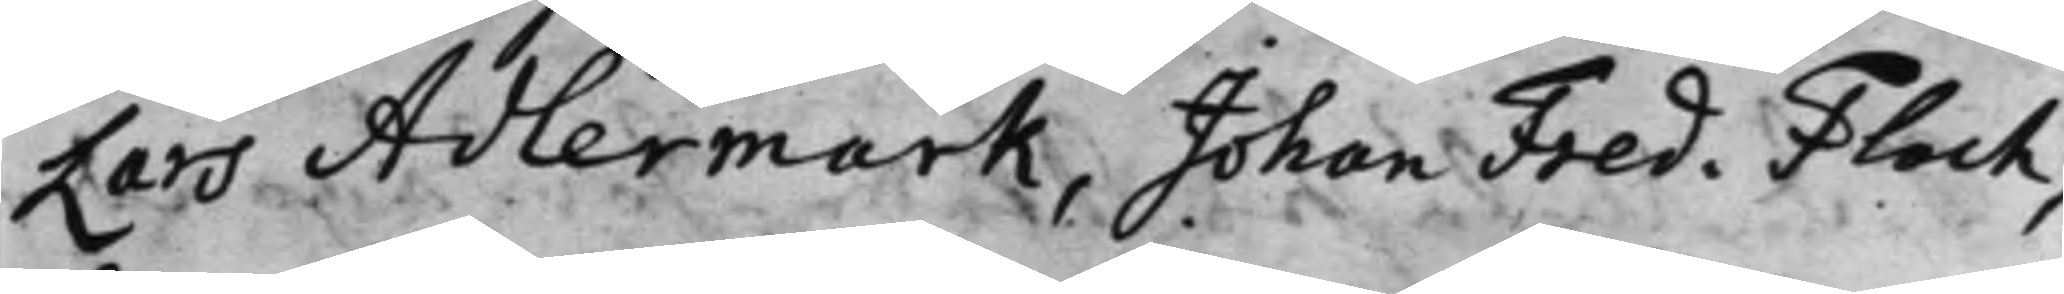Lars Adlermark, Johan Fred. Flach,
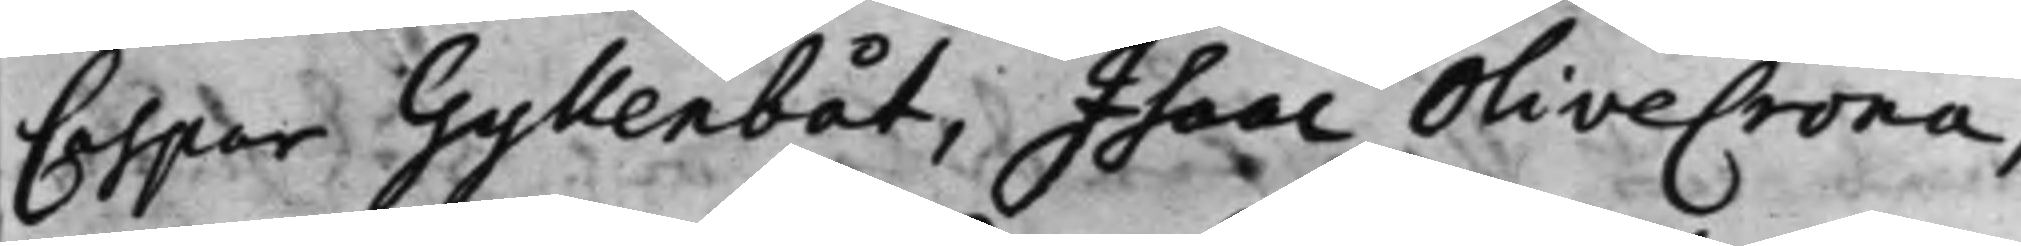Caspar Gyllenbåt, Isaac Olivecrona,
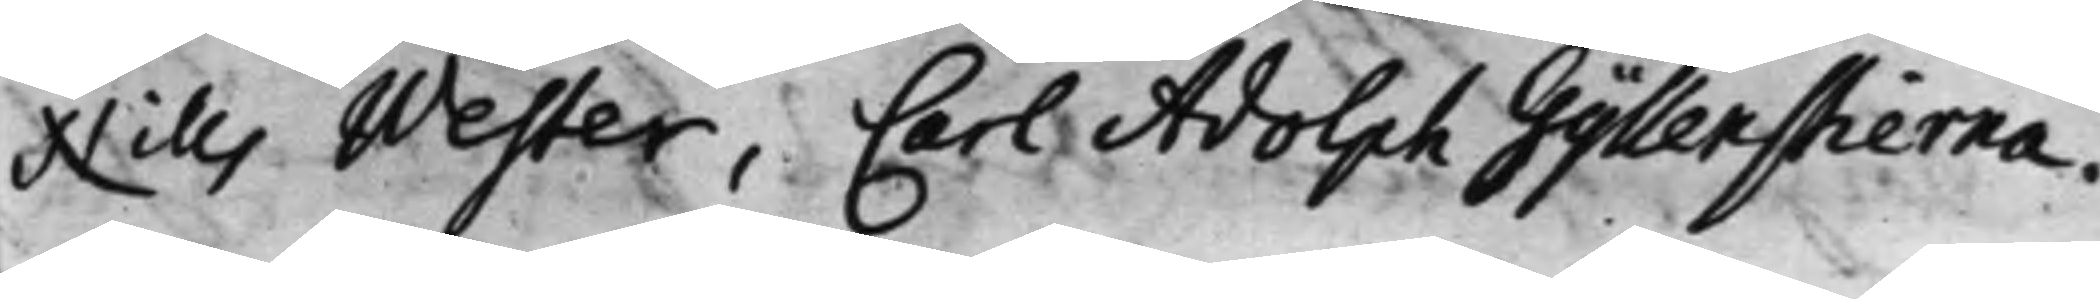Nills Wester, Carl Adolph Gyllenstierna.
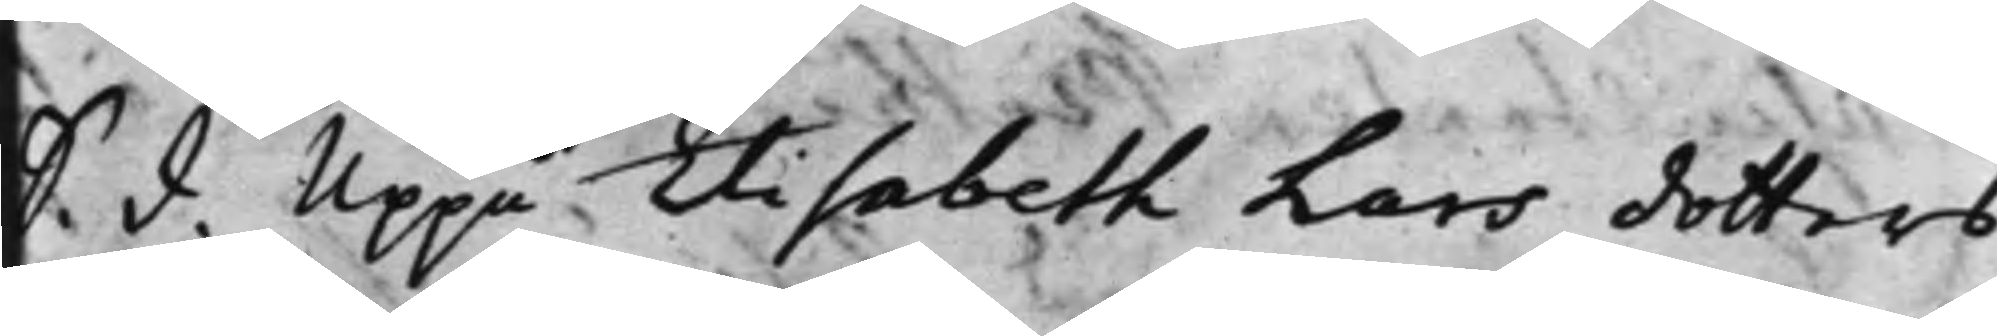S. d. Uppå Elisabeth Lars dotters
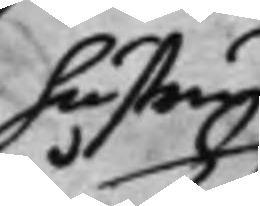hustru
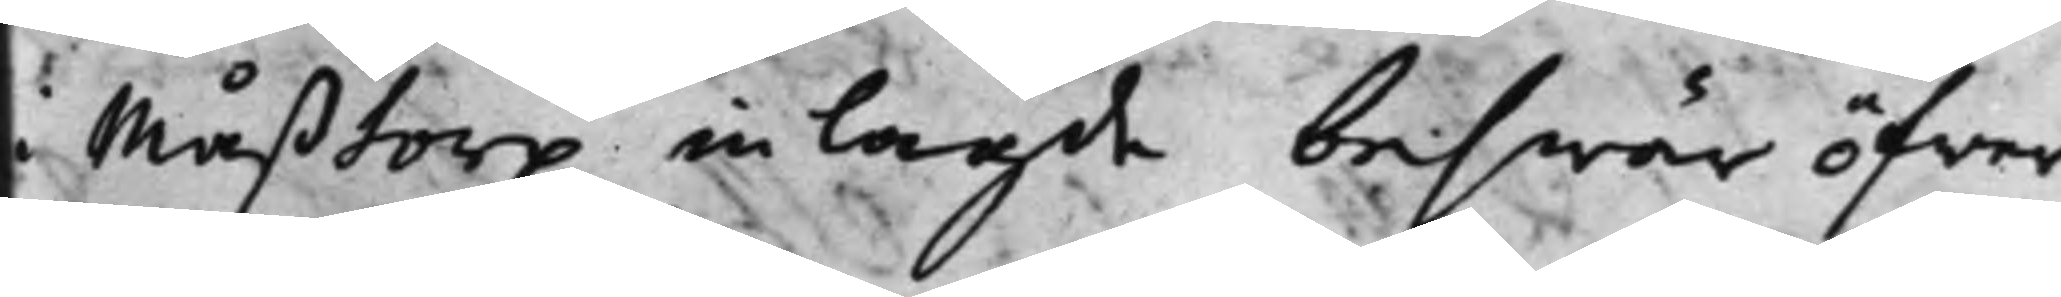i Måßtorp inlagde beswär öfwer
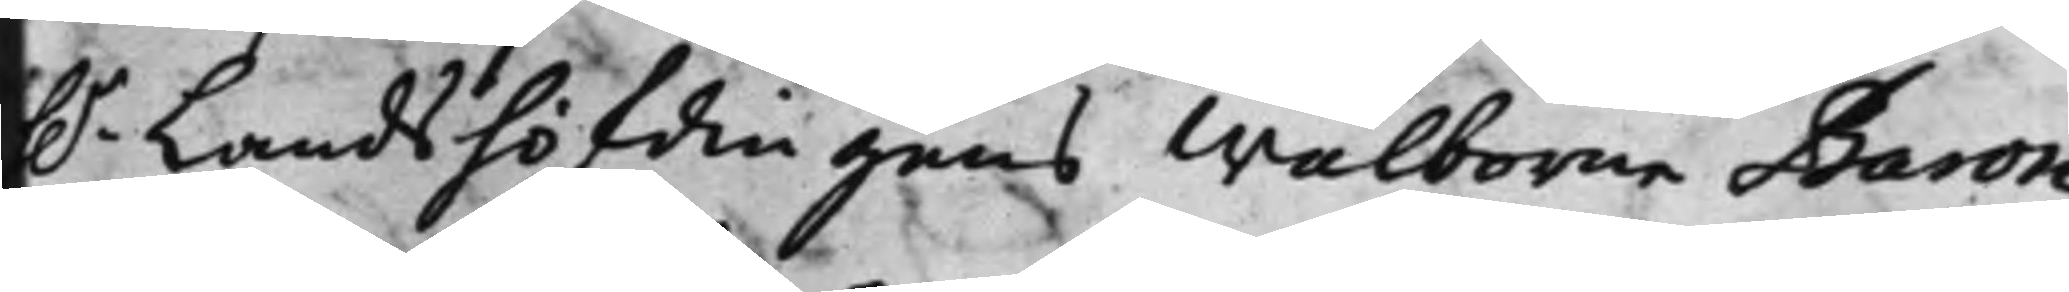h.r Landshöfdingens Wälborne Baron
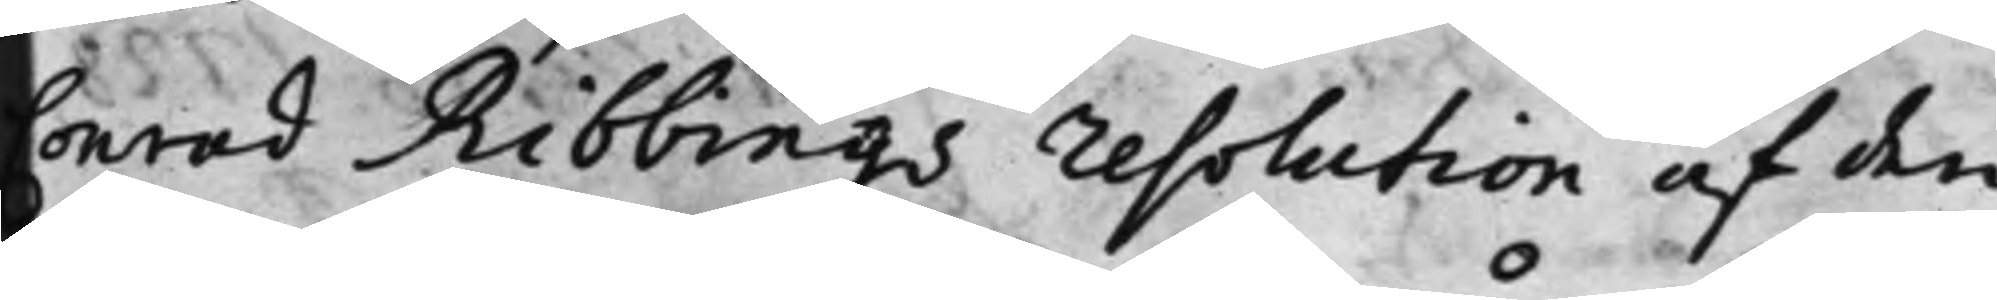Conrad Ribbings resolution af den
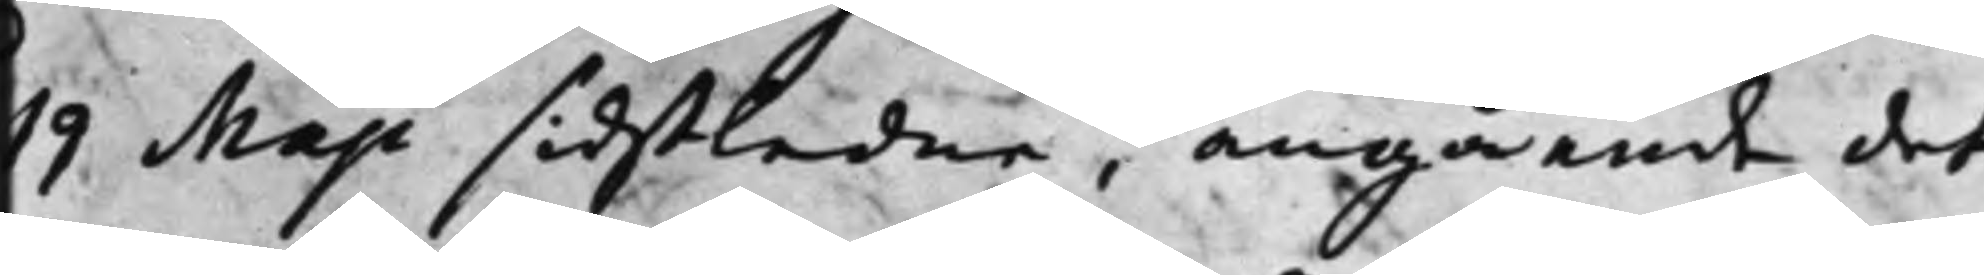19 Maji sidstledne, angående det
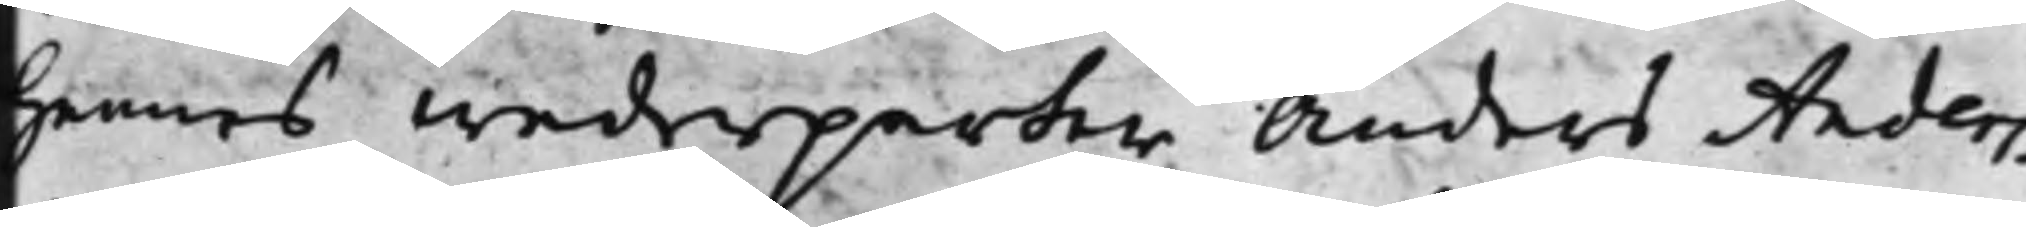Hennes wederparter Anders Anders¬
